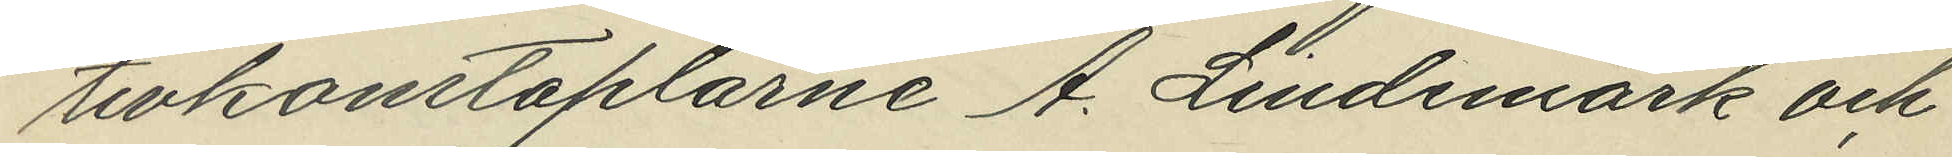tivkonstaplarne A. Lindemark och
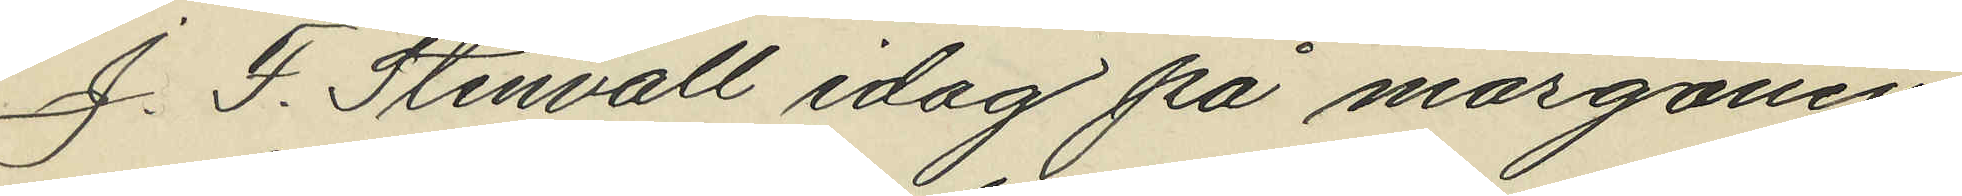J. F. Stenvall idag på morgonen
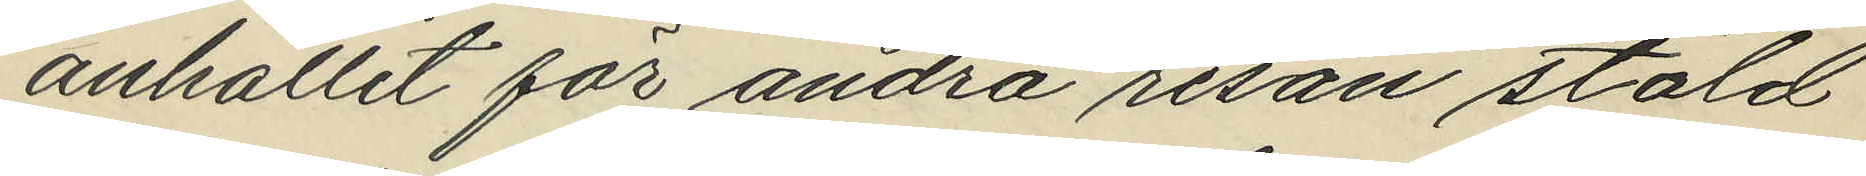anhållit för andra resan stöld
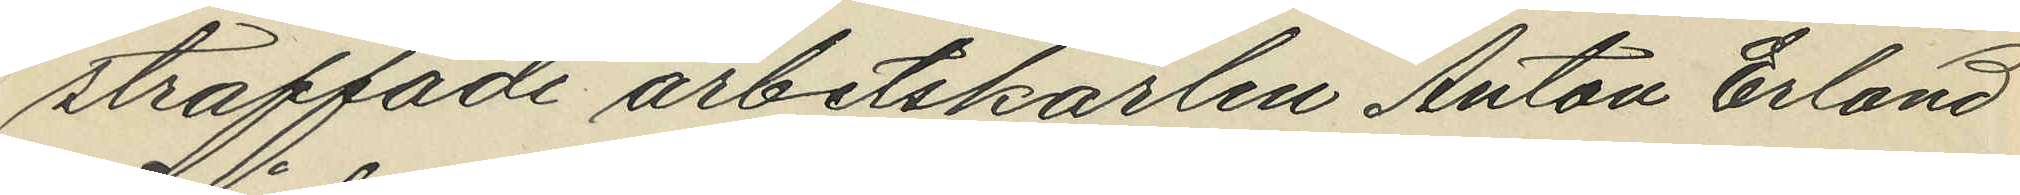straffade arbetskarlen Anton Erland
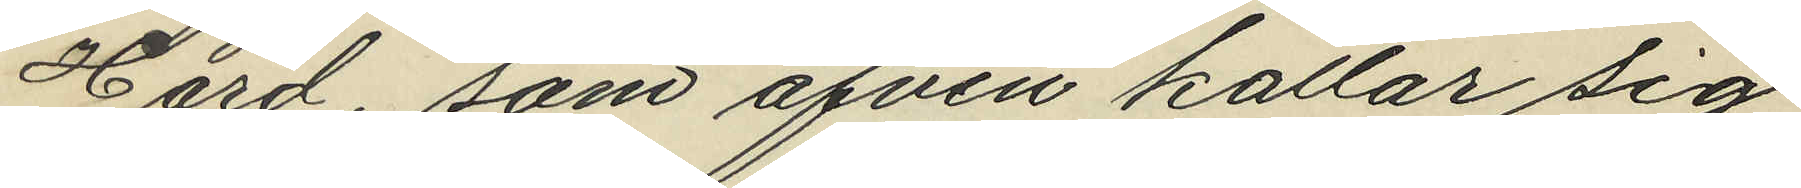Hård, som äfven kallar sig
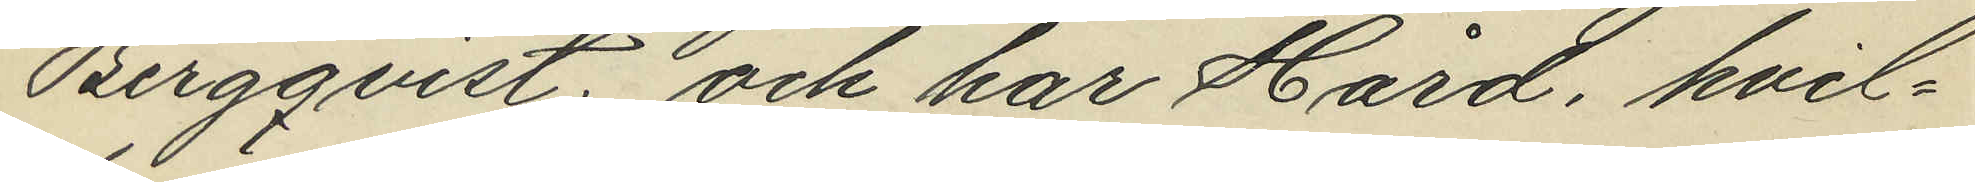Bergqvist: och har Hård, hvil¬
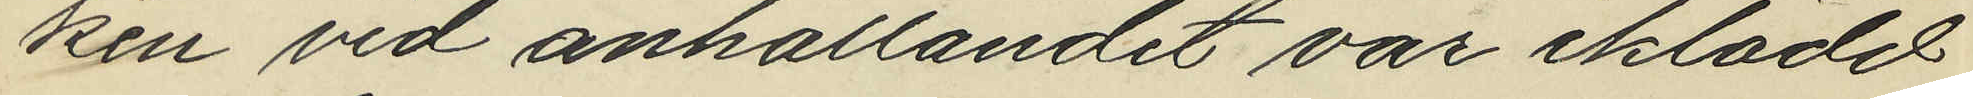ken vid anhållandet var iklädet
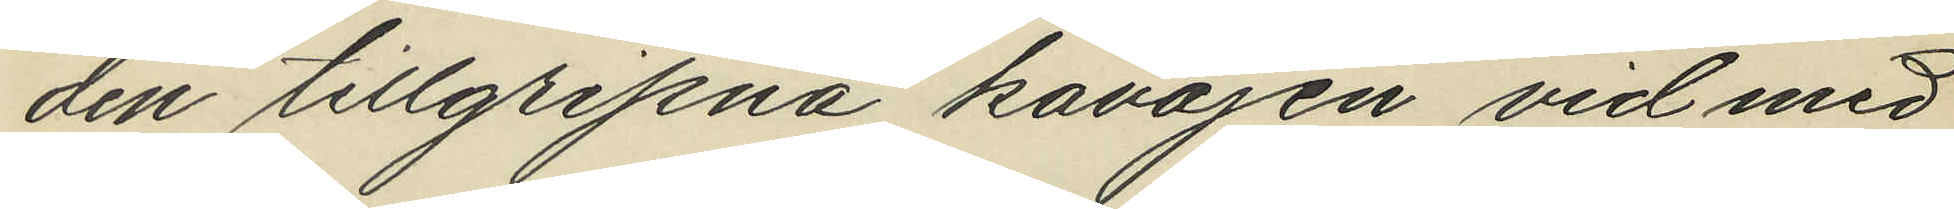den tillgripna kavajen vid med
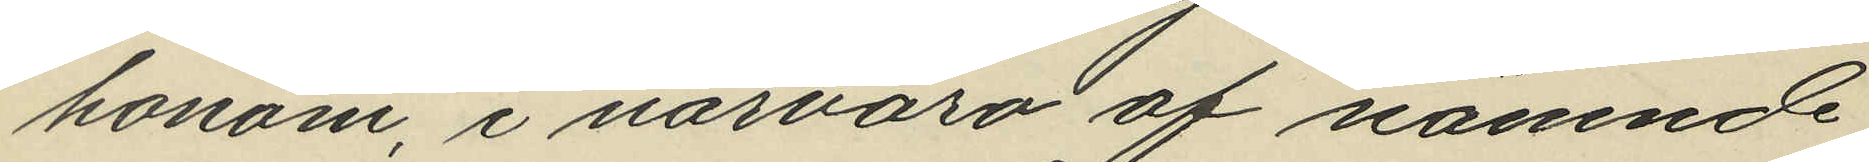honom, i närvaro af nämnde
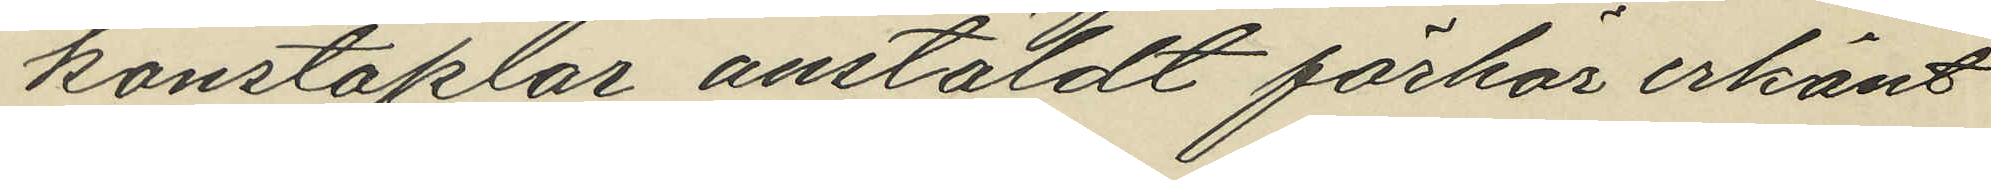konstaplar anstäldt förhör erkänt
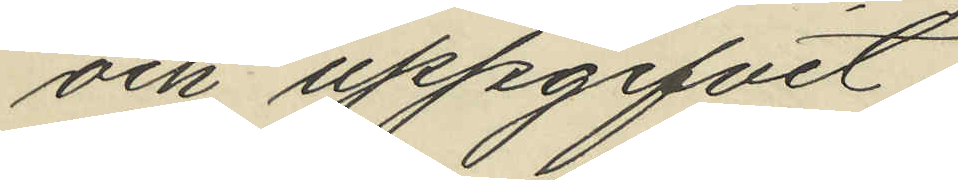och uppgifvit:
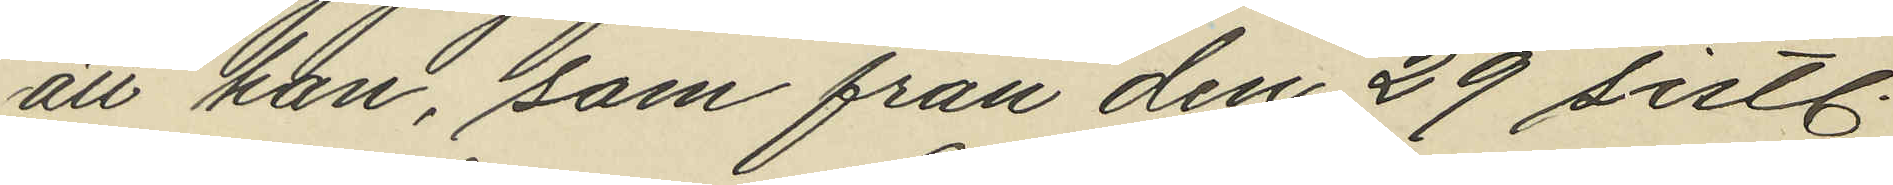att han, som från den 29 sistl.
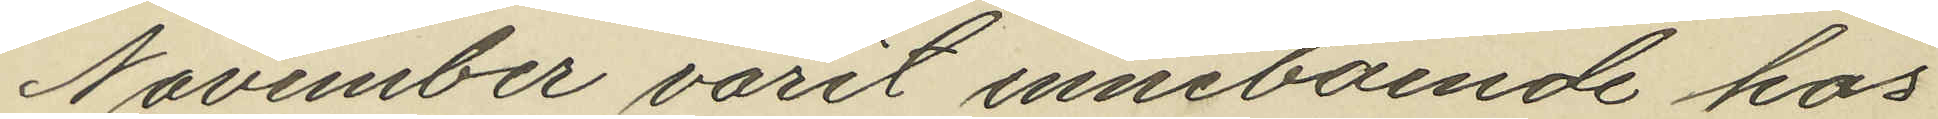November varit inneboende hos
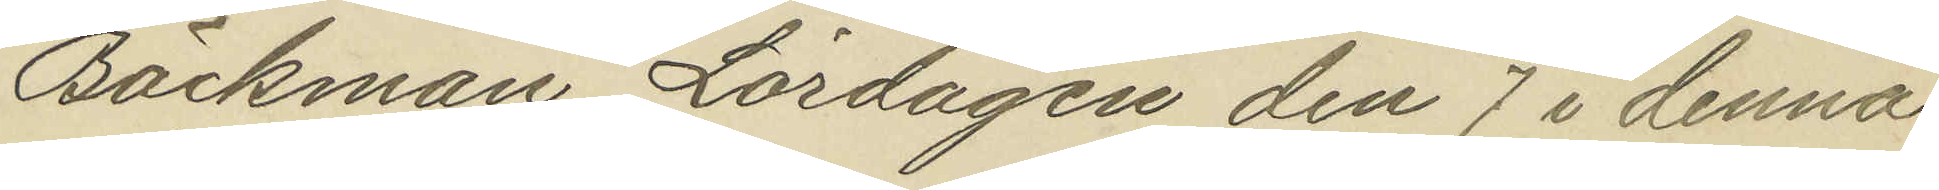Backman Lördagen den 7 i denna
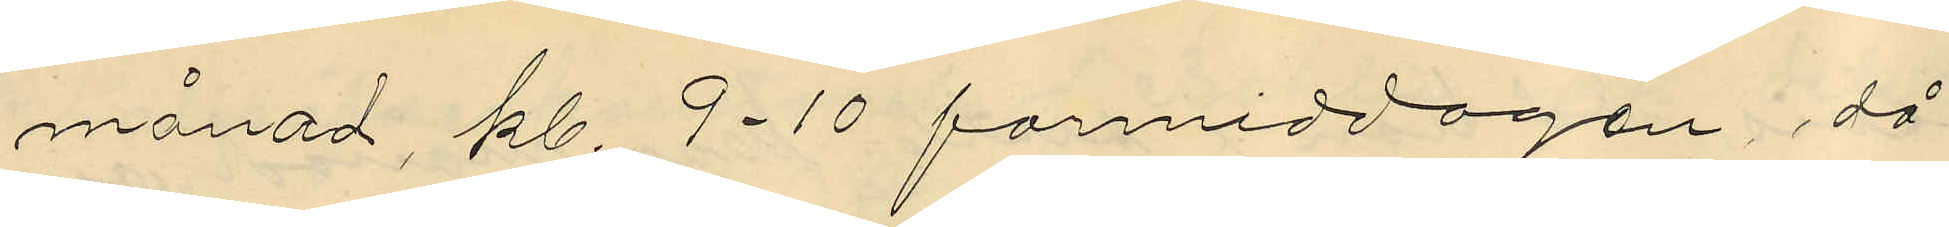månad, kl. 9-10 förmiddagen, då
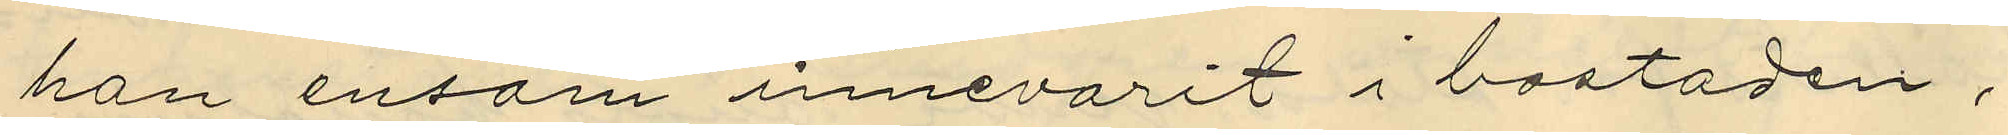han ensam innevarit i bostaden,
